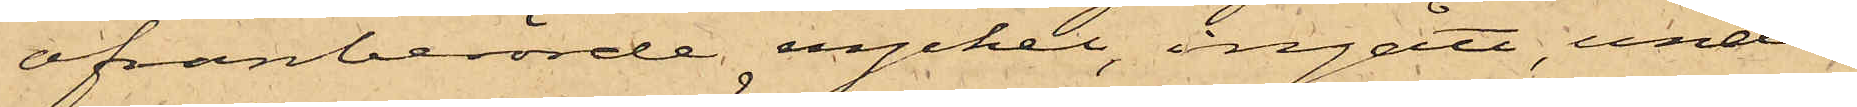ofvanberörde nyckel, ingått, under
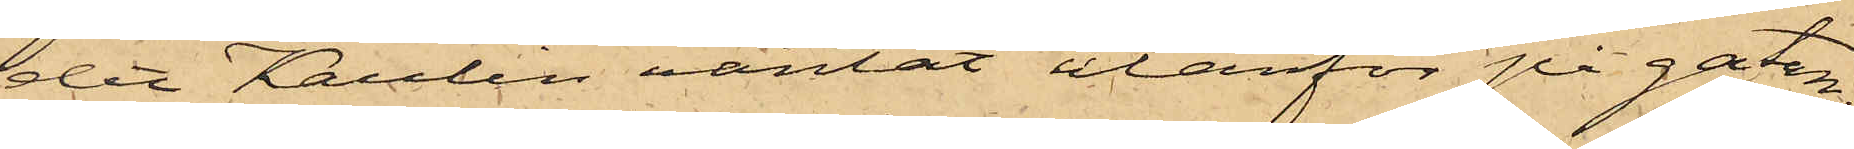det Kaulin väntat utanför på gatan;
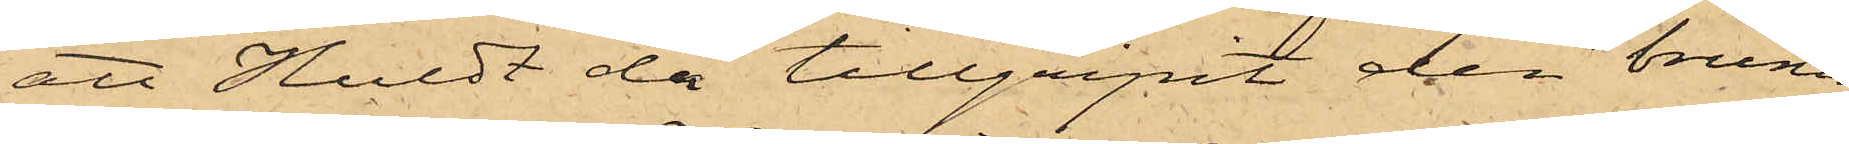att Huldt då tillgripit den bruna
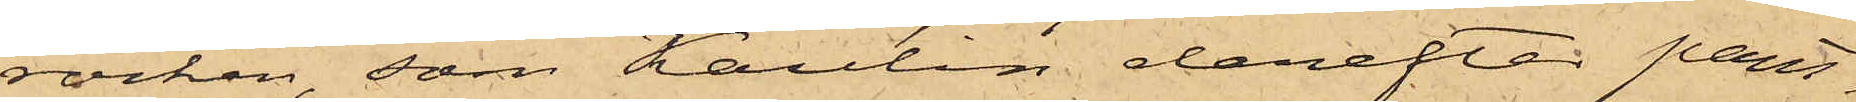rocken, som Kaulin derefter pant¬
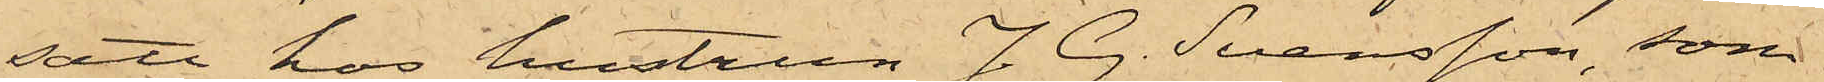satt hos hustrun J. G. Svensson, som
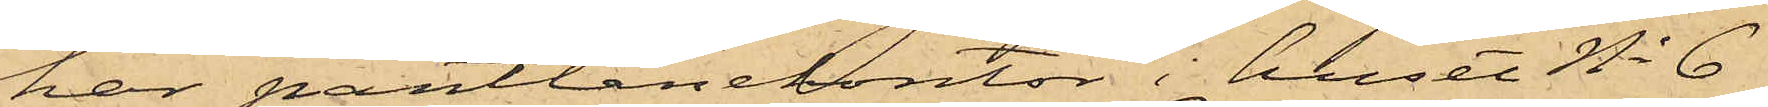har pantlånekontor i huset No 6
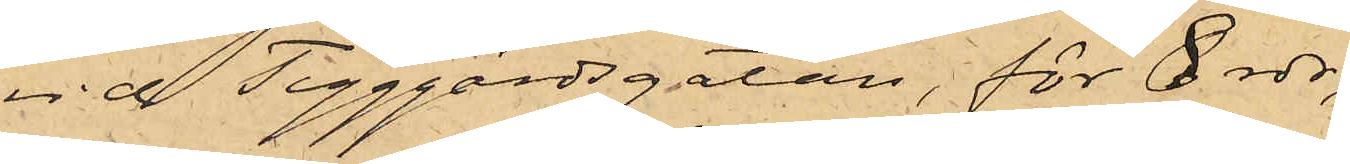vid Tyggårdsgatan, för 8 rdr,
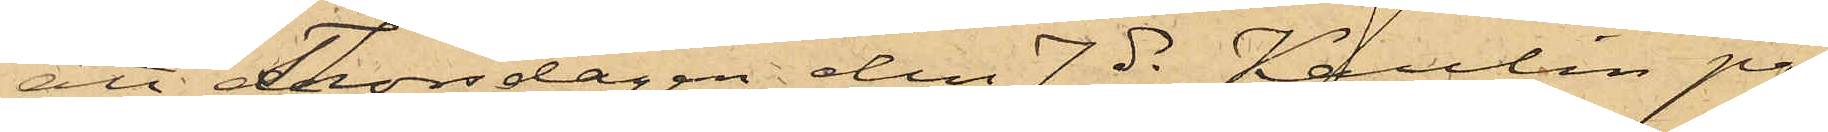att Thorsdagen den 7 ds Kaulin på
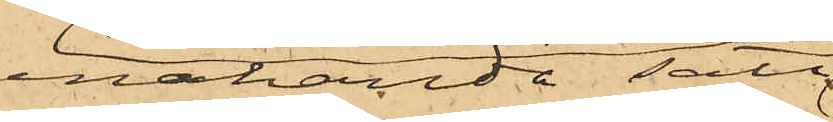enahanda sätt
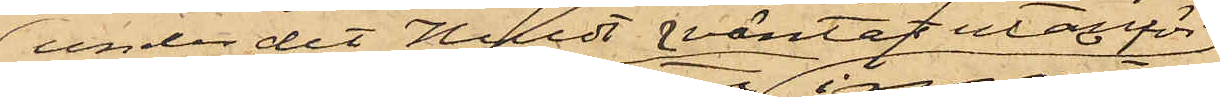under det Huldt väntat utanför
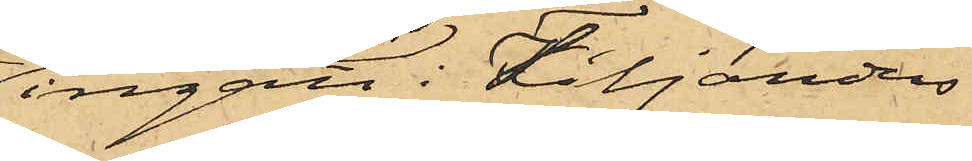ingått i Tiljanders
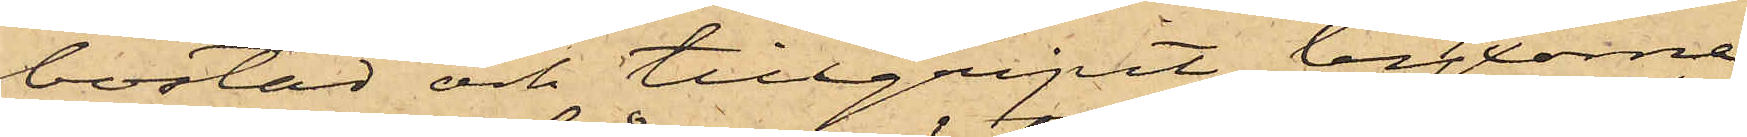bostad och tillgripit byxorna
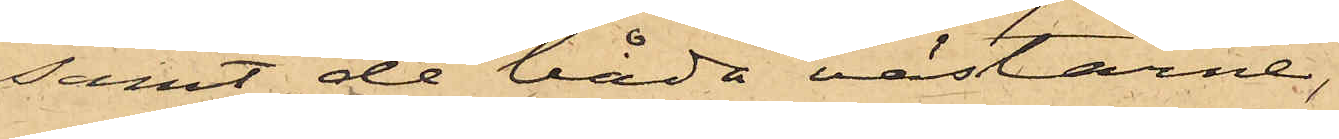samt de båda västarne,
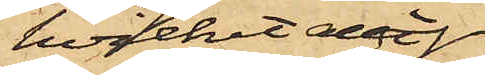hvilket allt
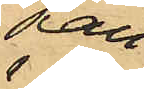Kau¬
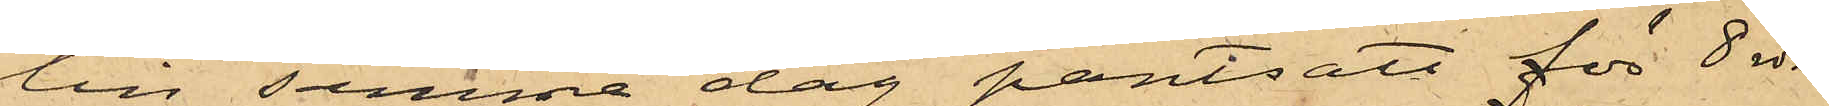lin samma dag pantsatt för 8 rdr
